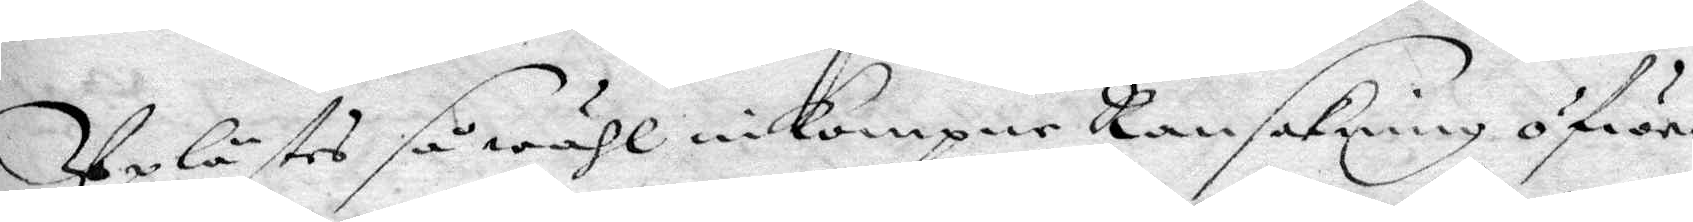Uplästes så wähl inkompne Ransakning öfwer
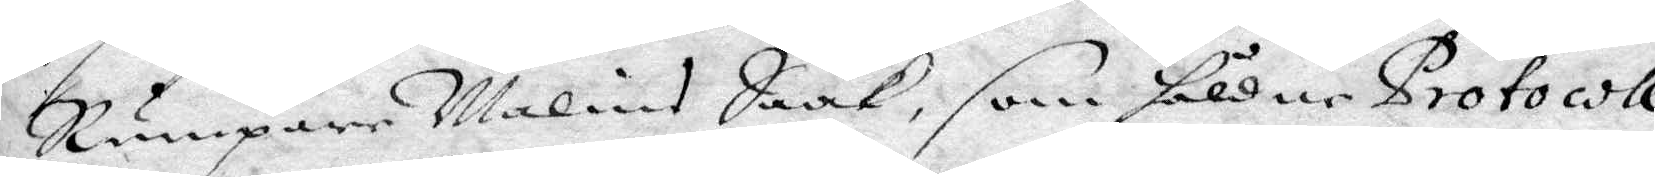Rumpare Malins Saak, som håldne Protocoll
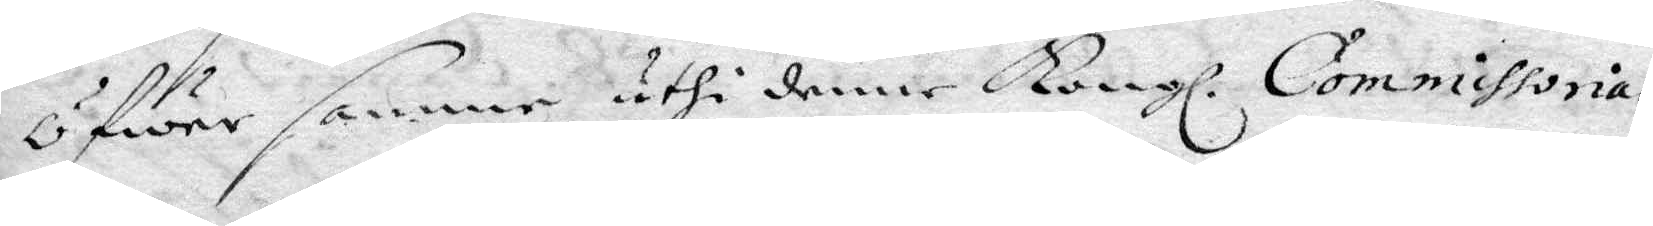öfwer samma uthi denne Kongl. Commissorial¬
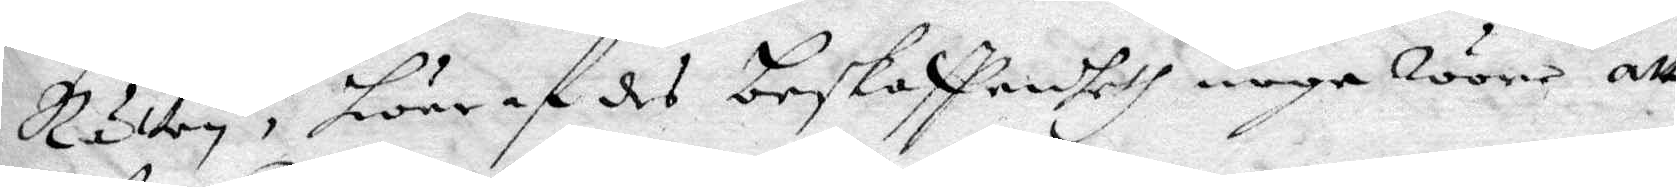Rätten, hwaraf des beskaffenheth noge wore att
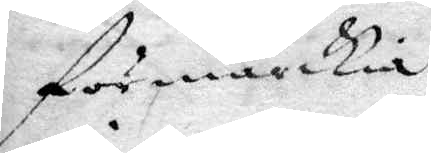förmärckia.
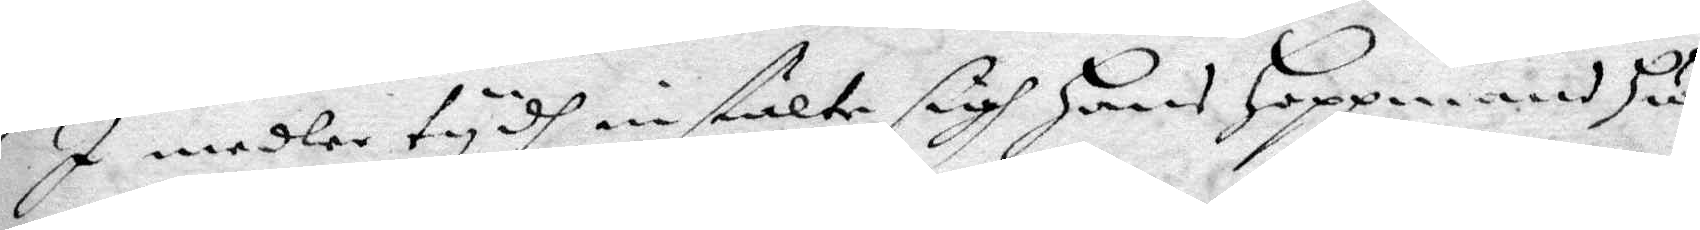I medler tydh instälte sig Hans Hoppmans Hu¬
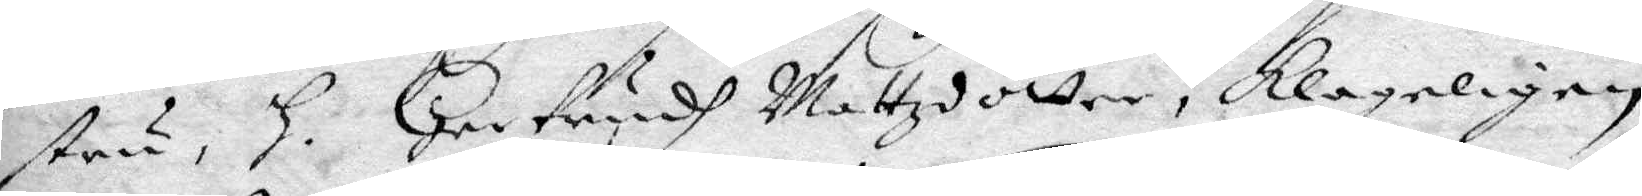stru, H. Gertrudh Mattzdotter, klageligen
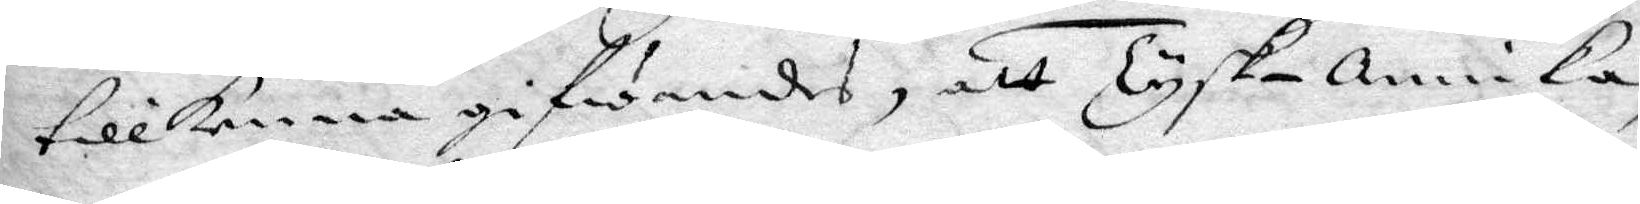tillkenna gifwandes, att Tyska Annika,
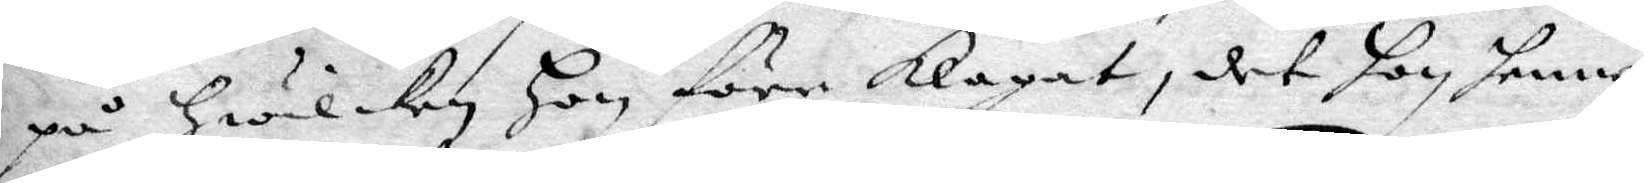på hwilken hon före klagat, det hon hennes
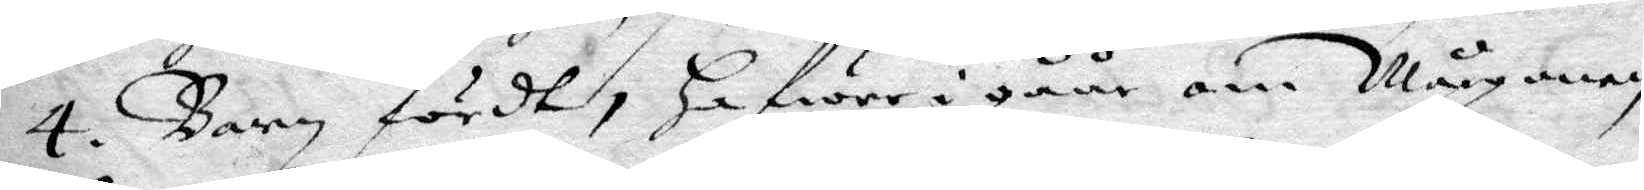4. Barn fördt, hafwer i gåår om Mårgonen
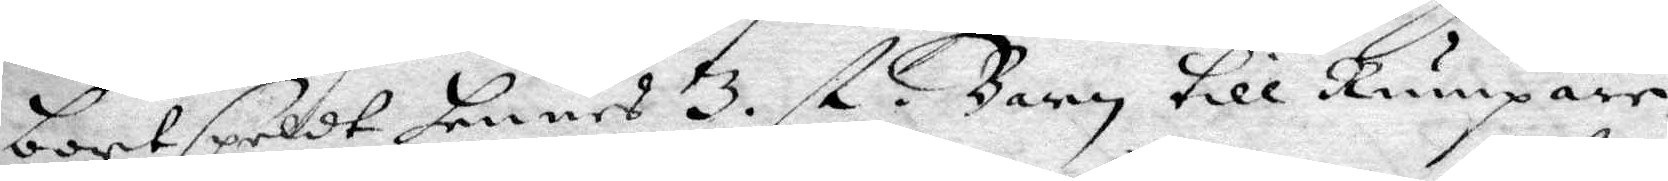bortspeldt hennes 3 st. Barn till Rumpare,
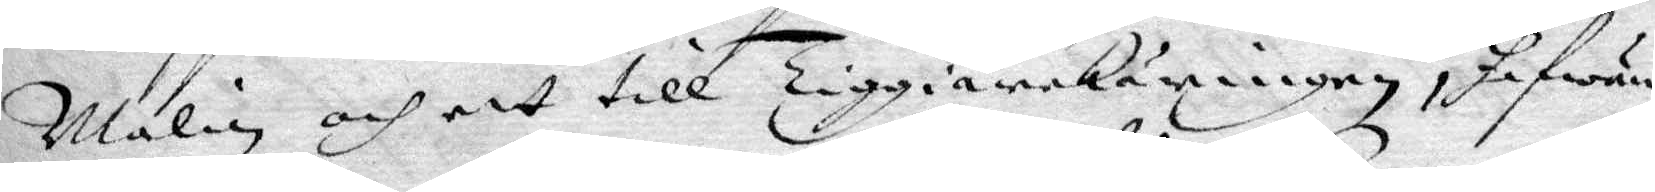Malin och ett till Tiggiarekäringen, hafwer
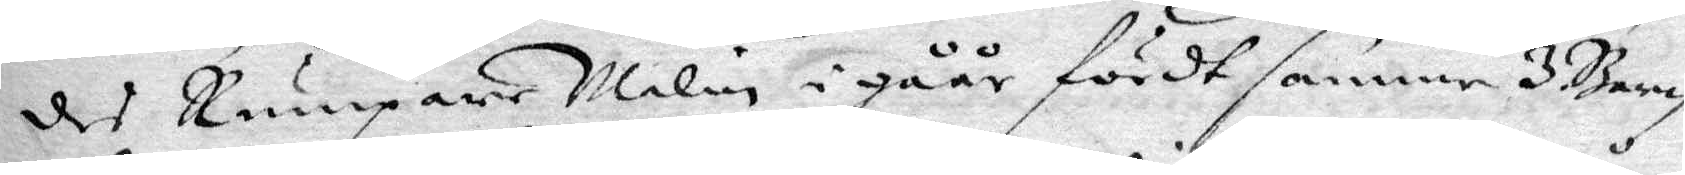des Rumpare Malm i gåår fördt samme 3 Barn
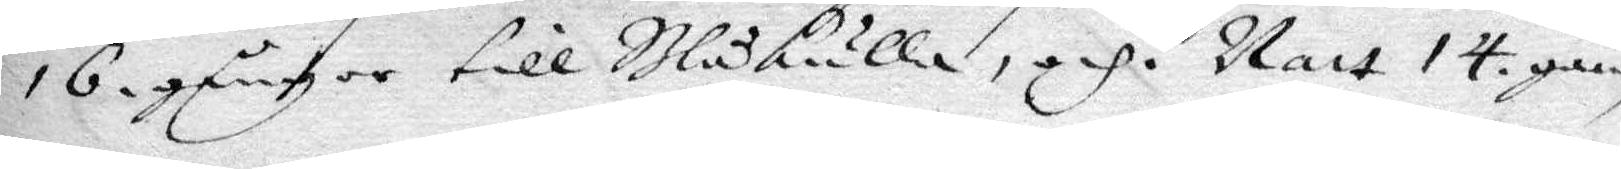16 gånger till Blåkulla, och i Natt 14 gån¬
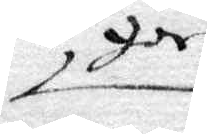ger
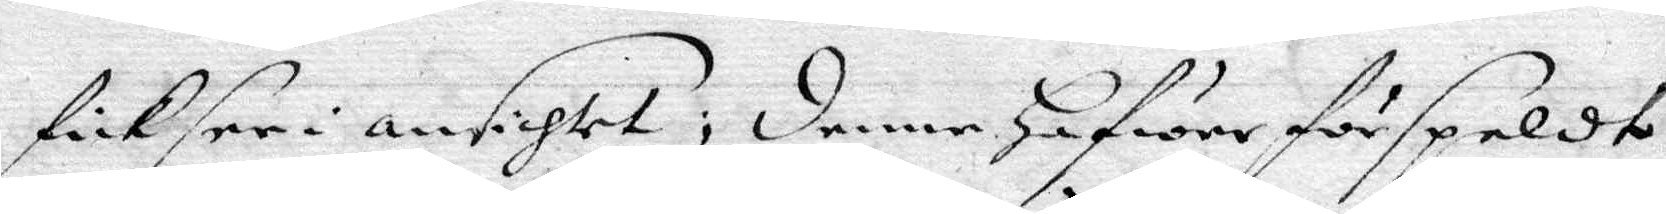fickser i ansichtet, denne Gafwer förspeldt
